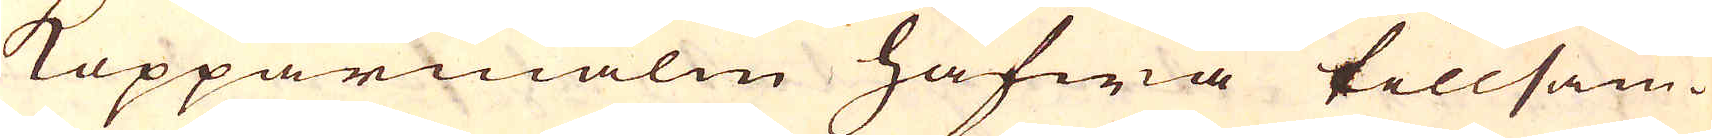Kopparmalm hafwa tillsam-
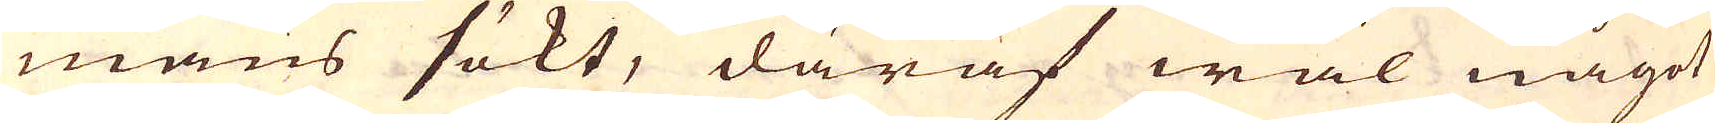mans sökt, däraf wäl något
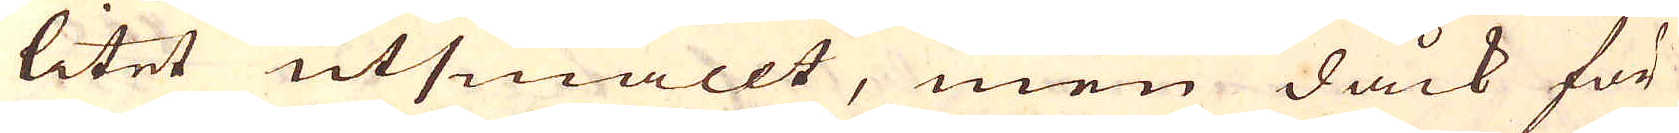litet utsmällt, men dåck för
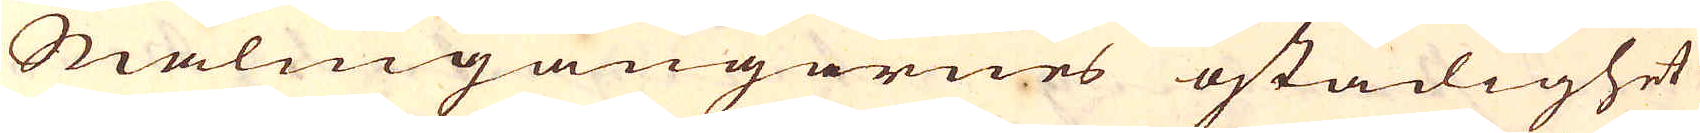Malmgångarnes ostadighet
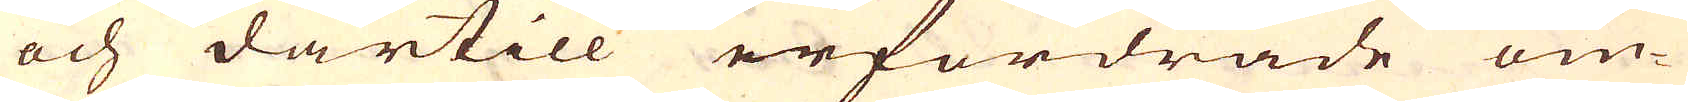och därtill erfordrade om-
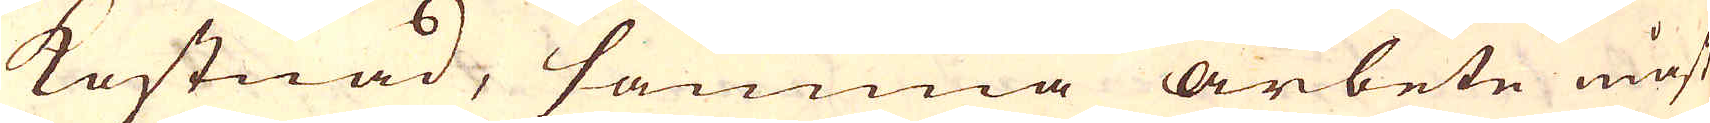kostnad, samma arbete måst
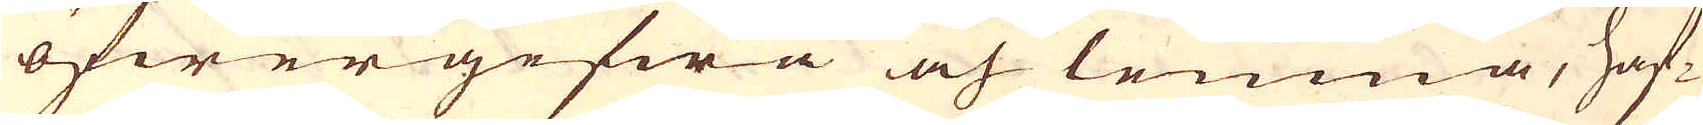öfwergifwa och lemna, haf-
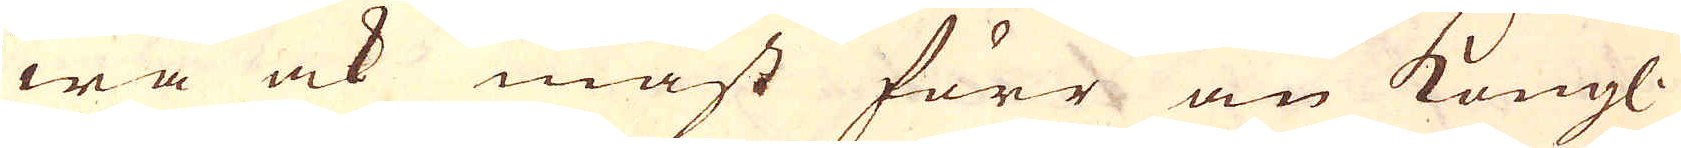wa ock måst förr än Kongl.
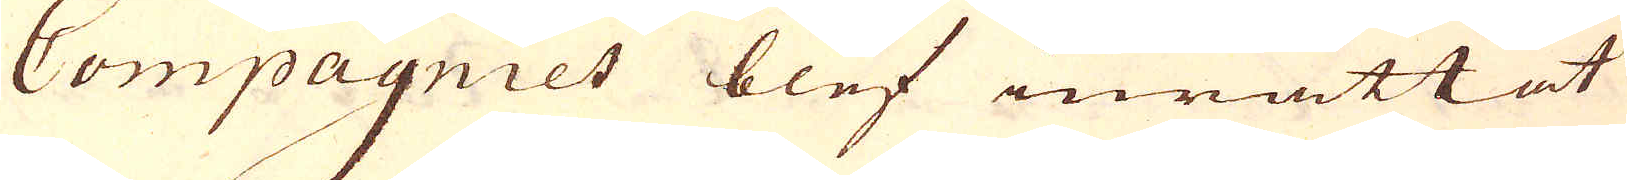Compagniet blef inrättat
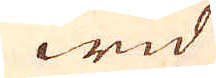wid
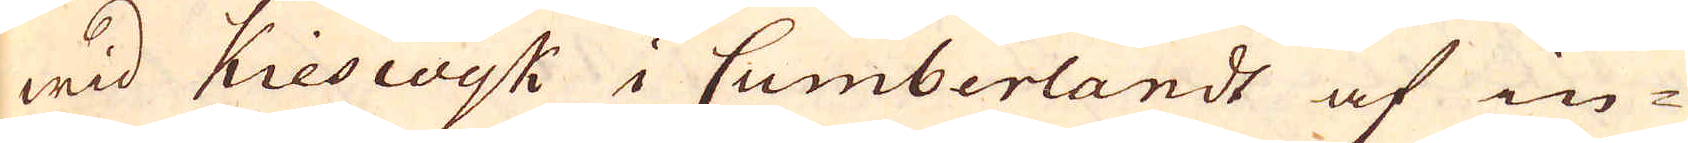wid Kieswyk i Cumberlandt af in-
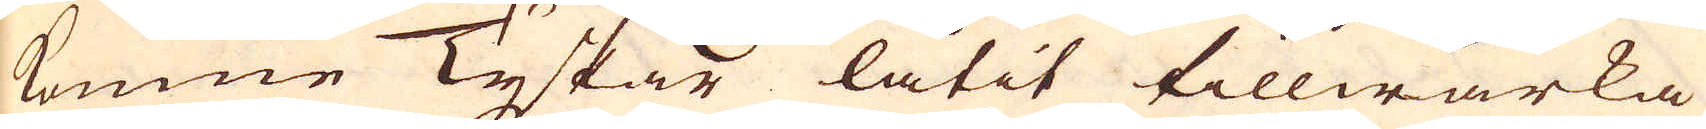komne Tyskar låtit tillwärka
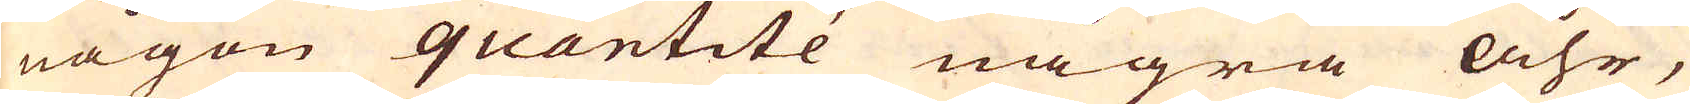någon quantité några åhr,
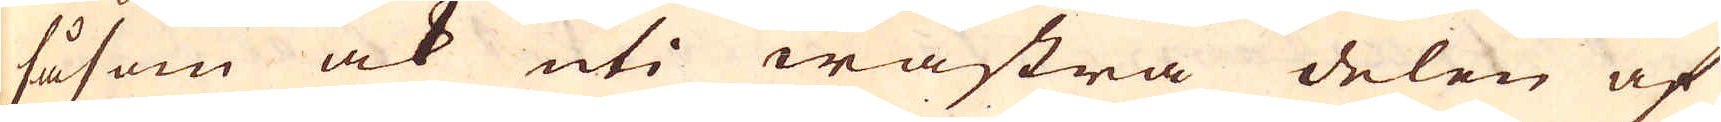såsom ock uti wästra delen af
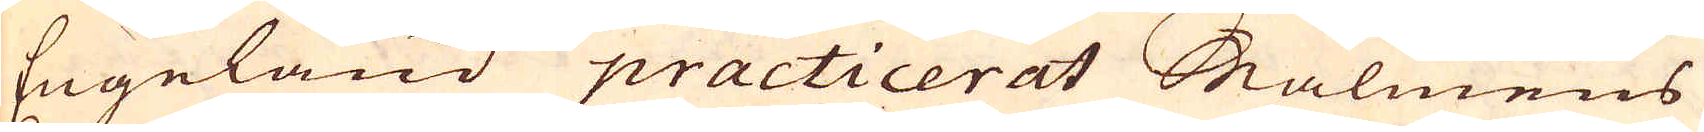Engeland practicerat Malmens
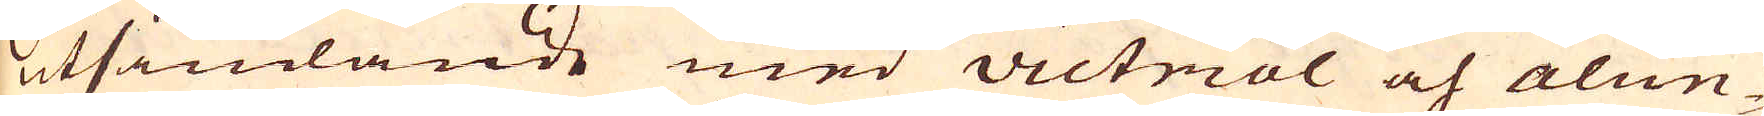utsändande med victriol och alun-
